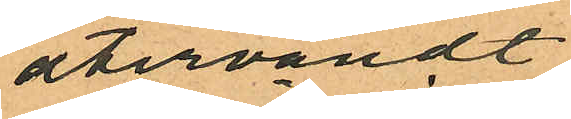återvändt
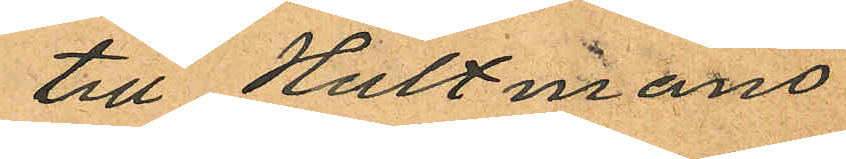till Hultmans
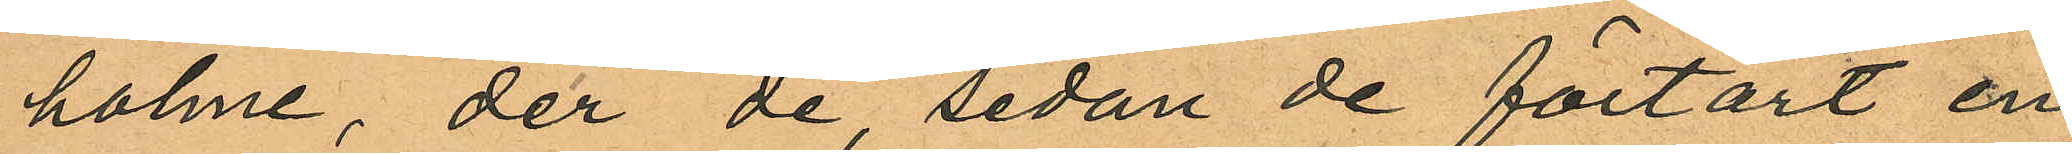holme, der de, sedan de förtärt en
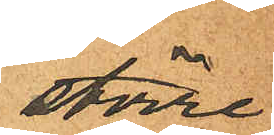större
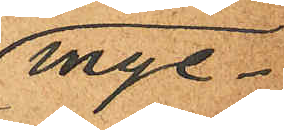myc¬
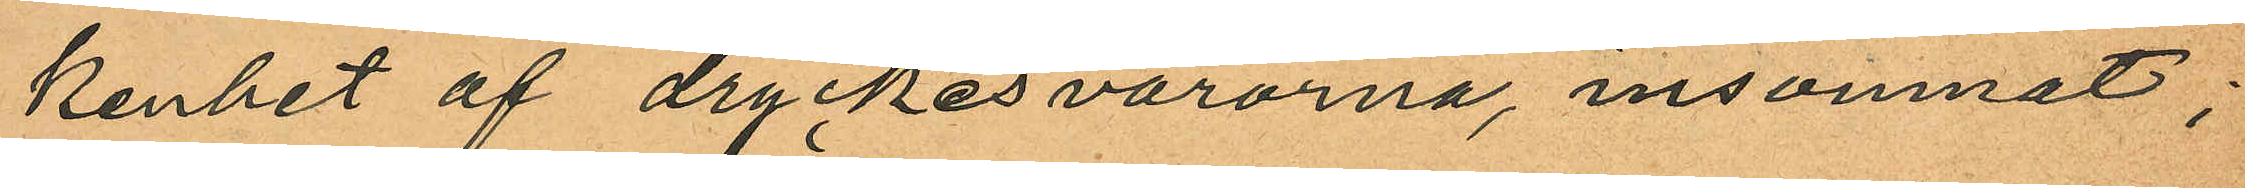kenhet af dryckesvarorna, insomnat;
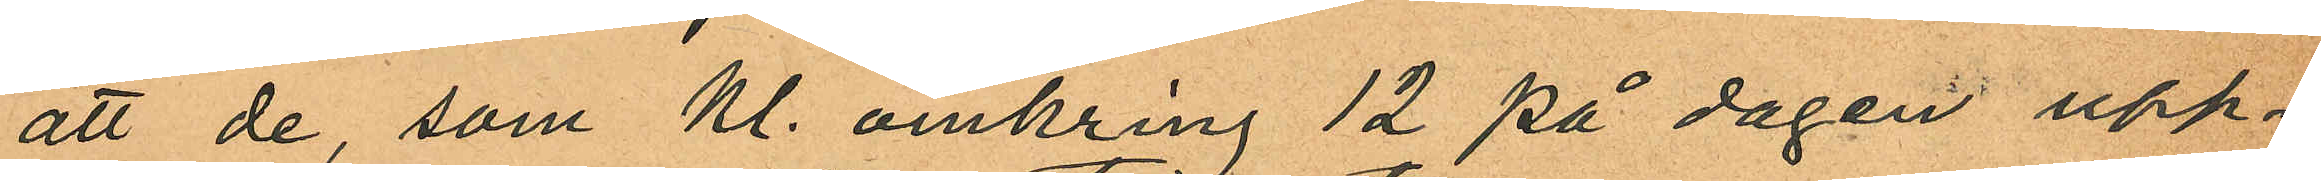att de, som Kl. omkring 12 på dagen upp¬
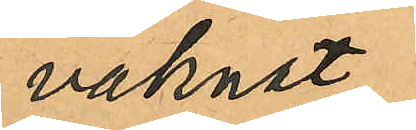vaknat
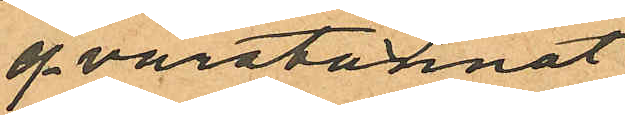qvarstannat
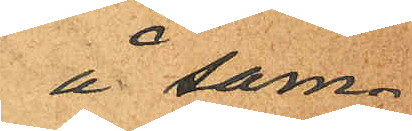å sam¬
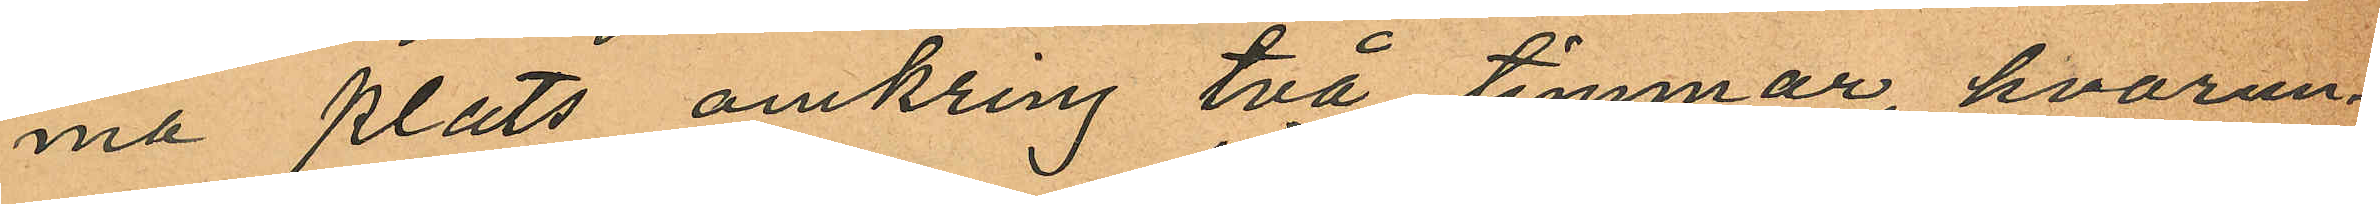ma plats omkring två timmar, hvarun¬
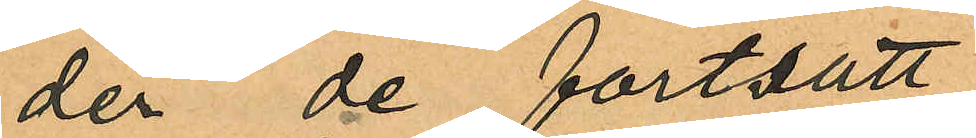der de fortsatt
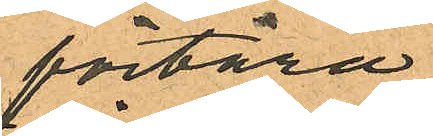förtära
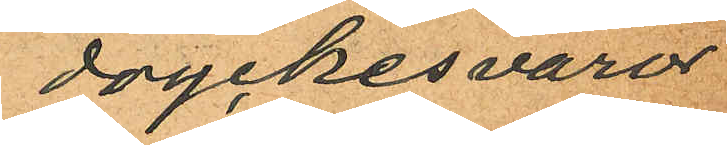dryckesvaror
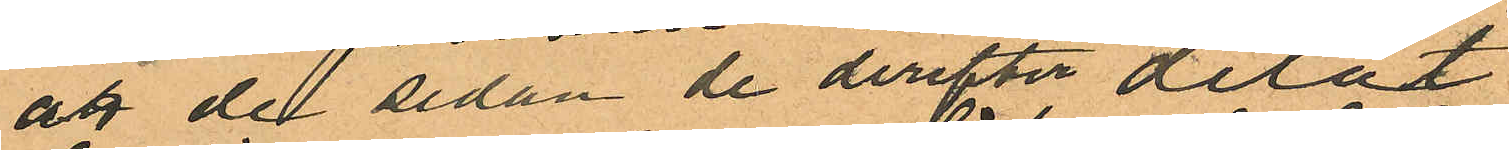att de sedan de derefter delat
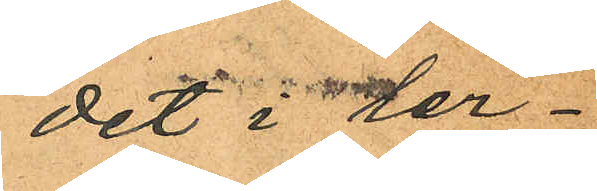det i ler¬
